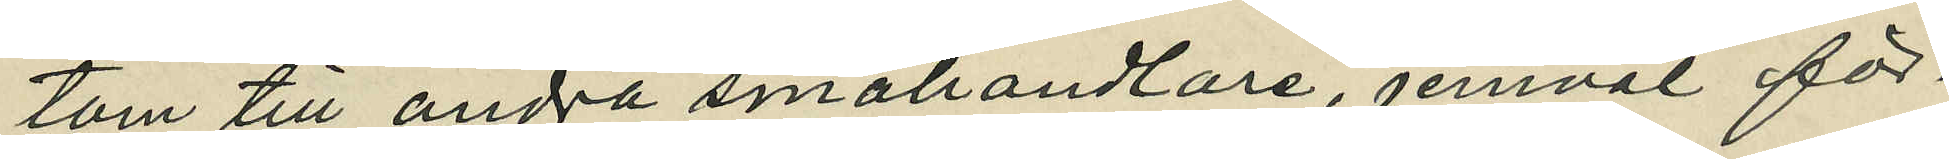tom till andra småhandlare, jemväl för¬
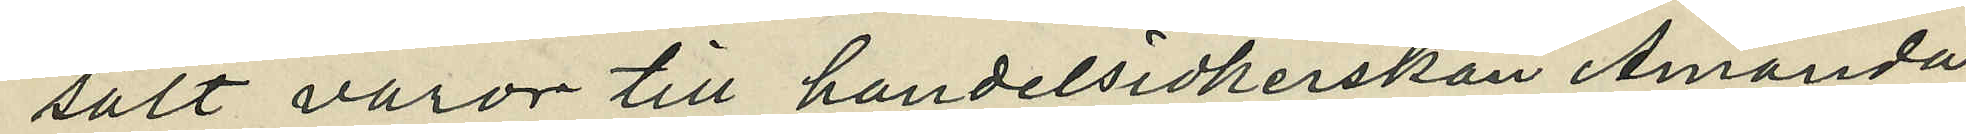sålt varor till handelsidkerskan Amanda
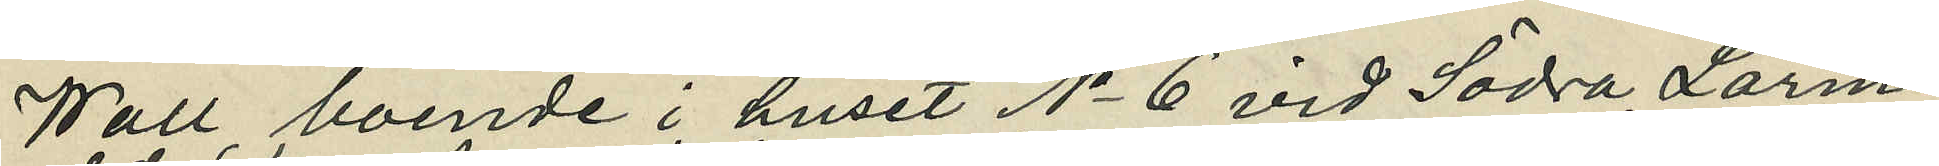Wall boende i huset No 6 vid Södra Larm¬
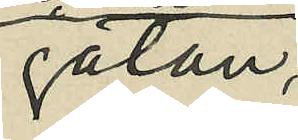gatan,
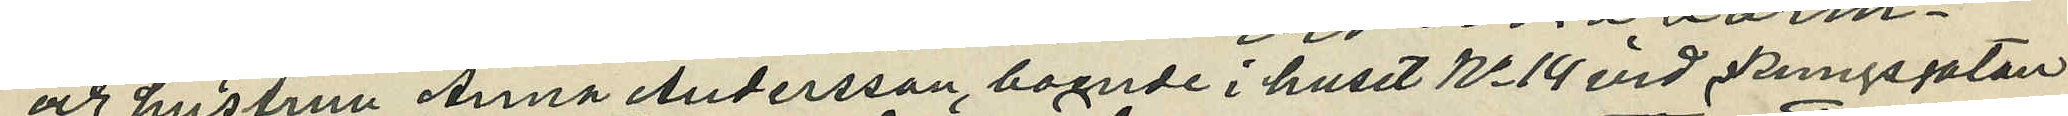och hustrun Anna Andersson, boende i huset No 14 vid Kungsgatan
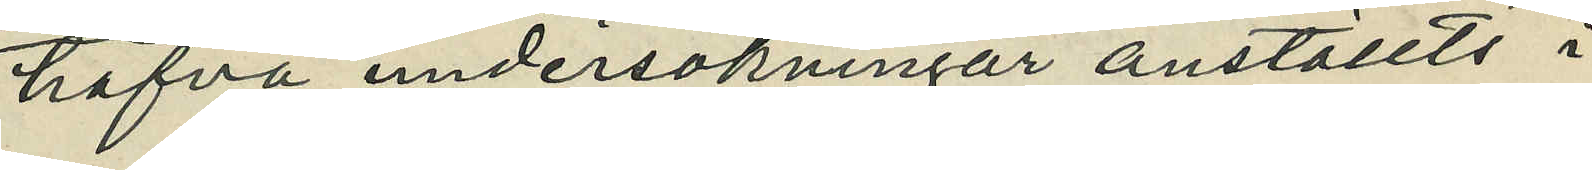hafva undersökningar anställts i
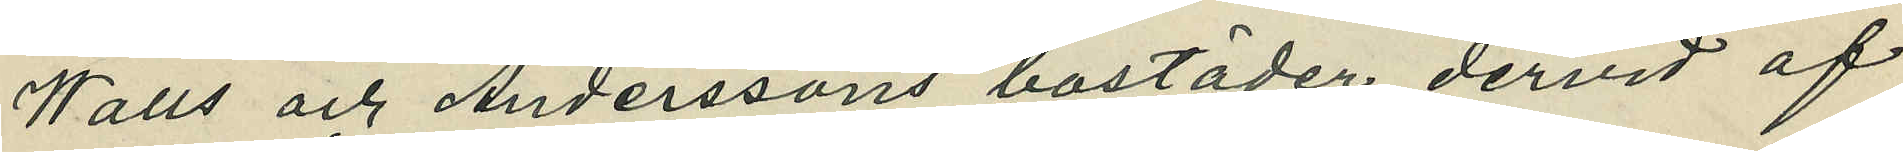Walls och Anderssons bostäder dervid af
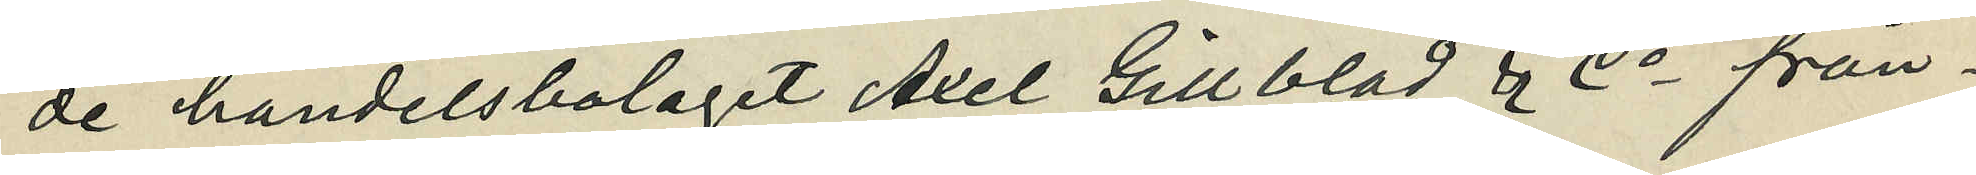de handelsbolaget Axel Gillblad & Co från¬
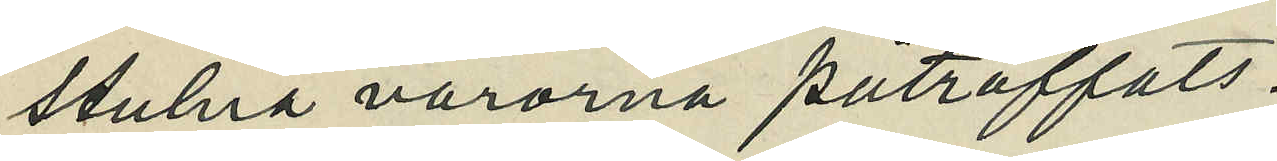stulna varorna påträffats.
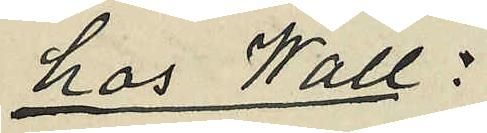hos Wall:
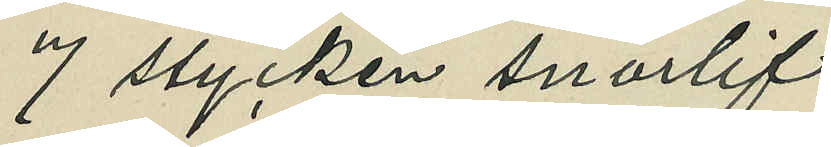7 stycken snörlif
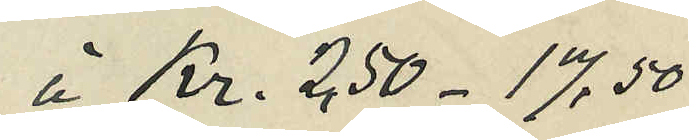á Kr. 2,50 - 17,50
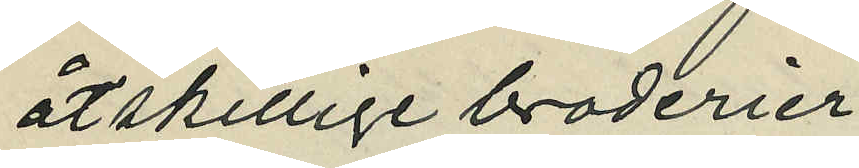åtskillige broderier
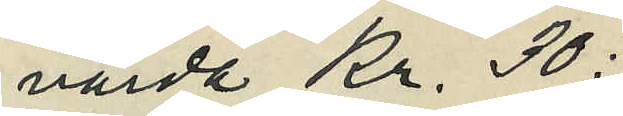värda Kr. 30:
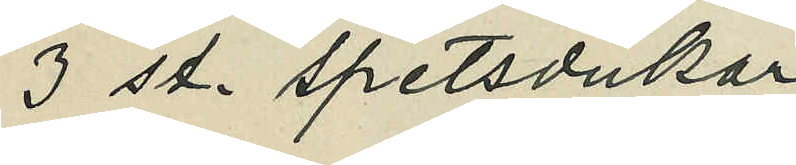3 st. spetsdukar
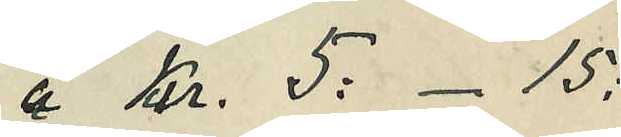á Kr. 5: - 15:
